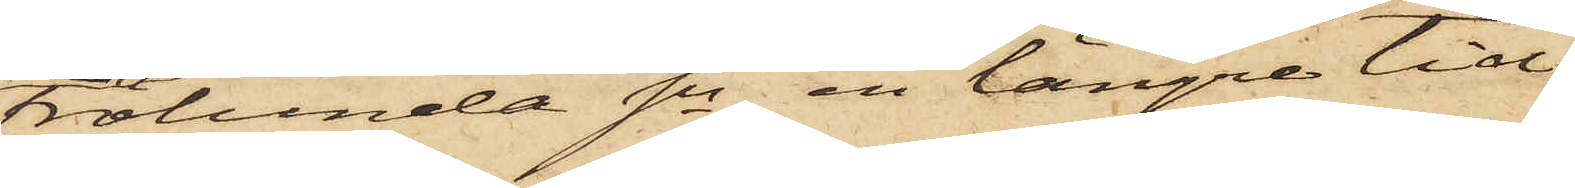Frölunda Sn, en längre tid
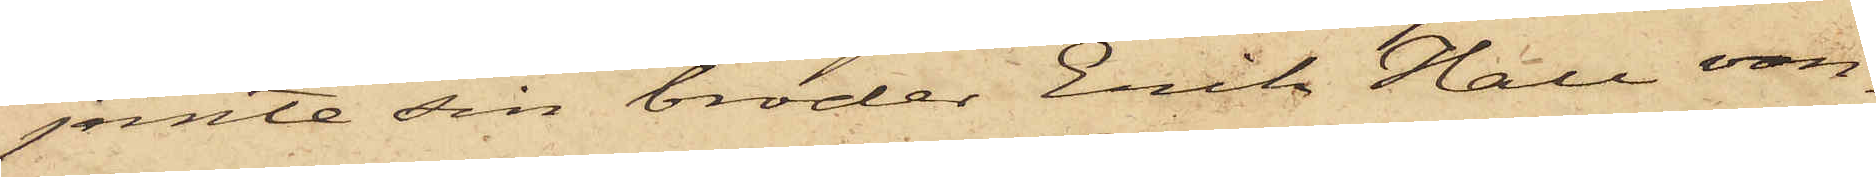jemte sin broder Erik Hall van¬
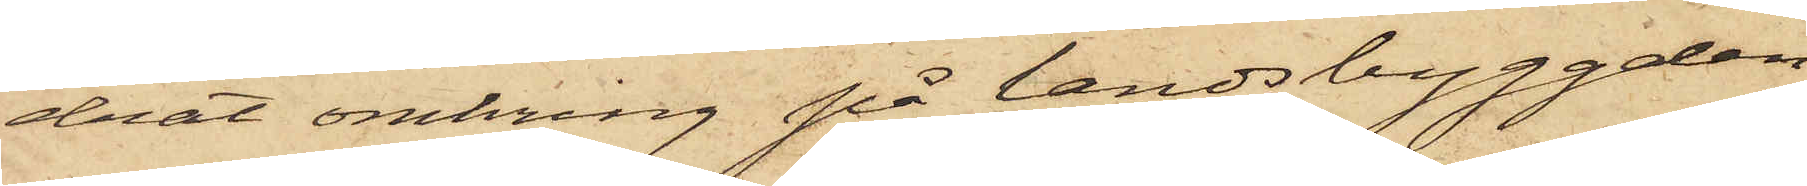drat omkring på landsbyggden
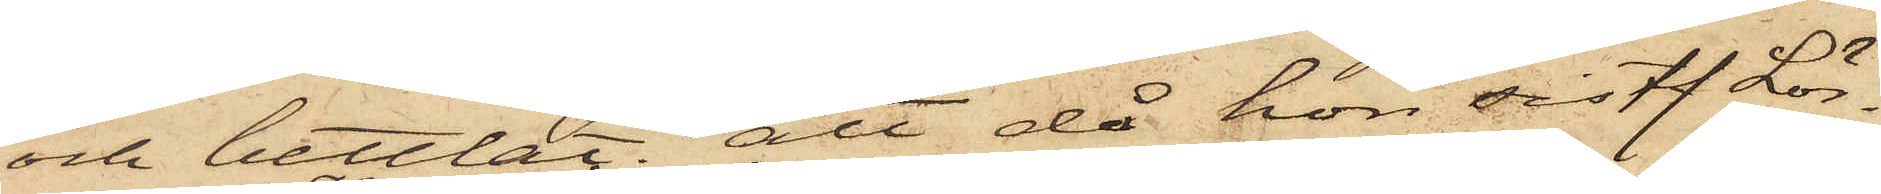och bettlat; att då hon sistl. Lör¬
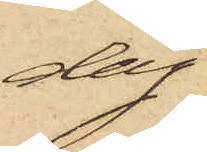dag
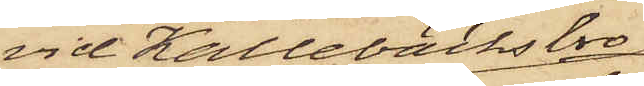vid Kallebäcks bro
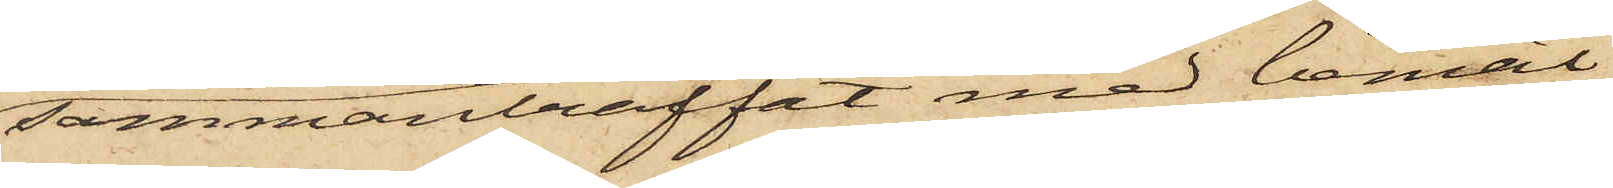sammanträffat med bemäl¬
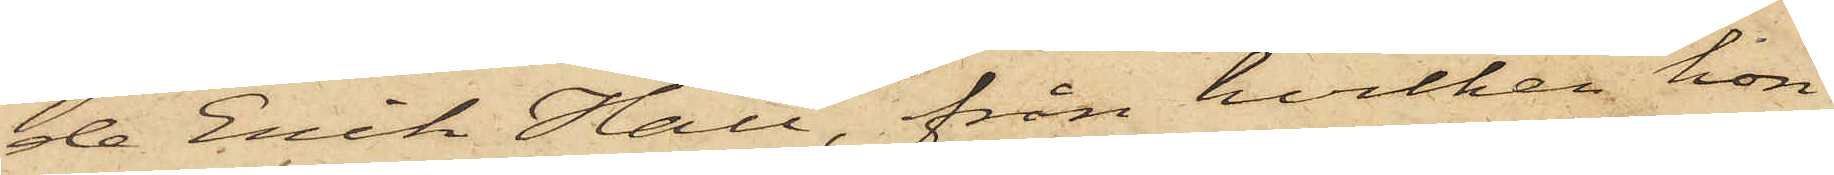de Erik Hall, från hvilken hon
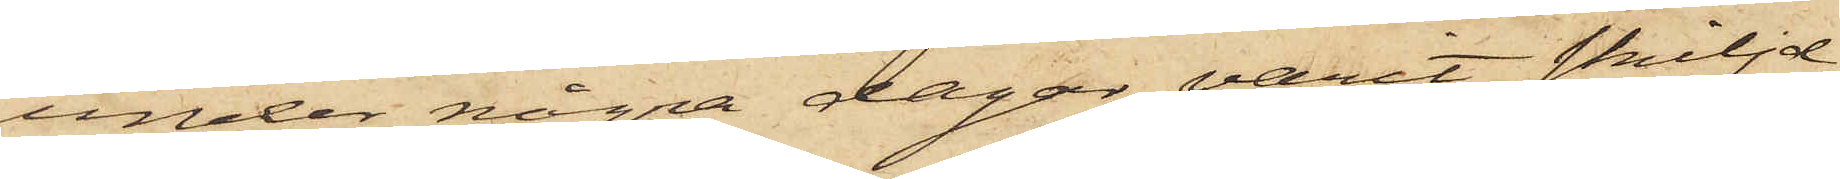under några dagar varit skiljd,
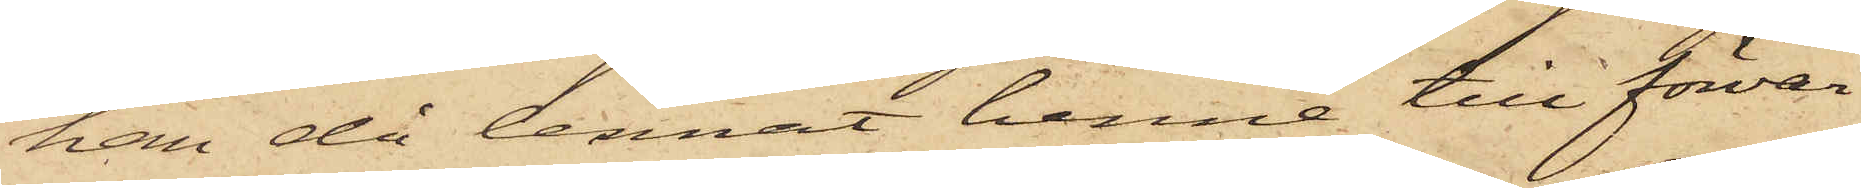han då lennat henne till förvar
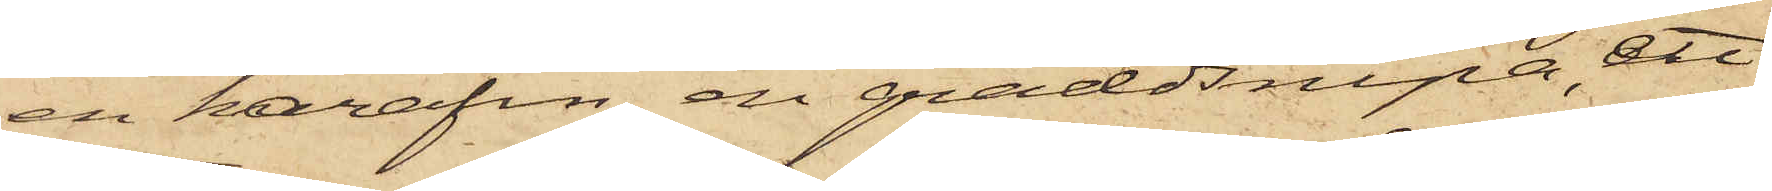en karafin, en gräddsnipa, ett
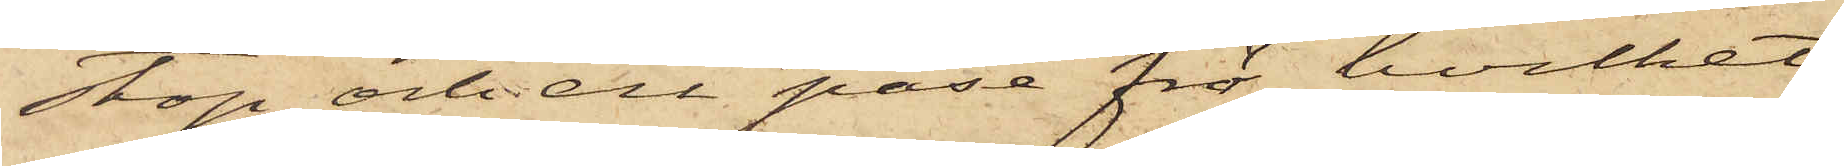stop och en påse frö, hvilket
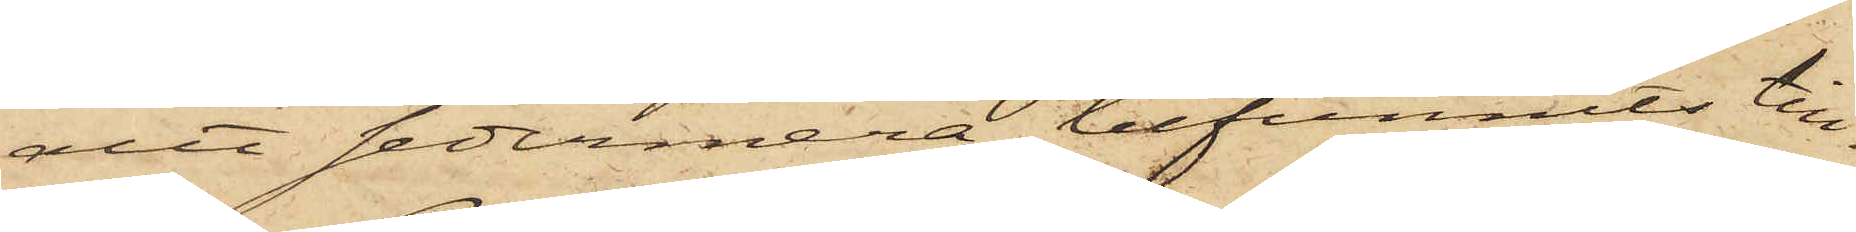attt sedermera befunnits till¬
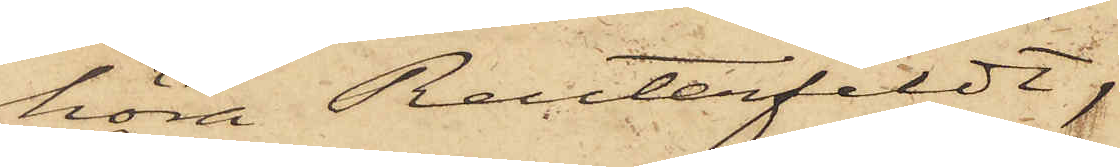höra Reuterfeldt,
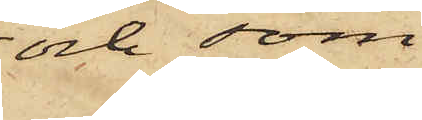och som
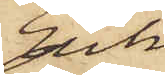Erik
